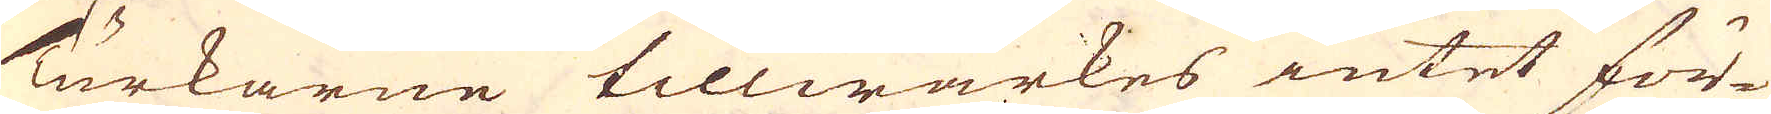Turkarne tillwärkes intet för-
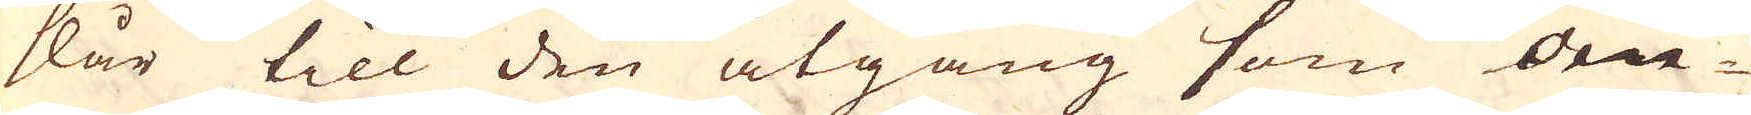slår till den åtgång som om-
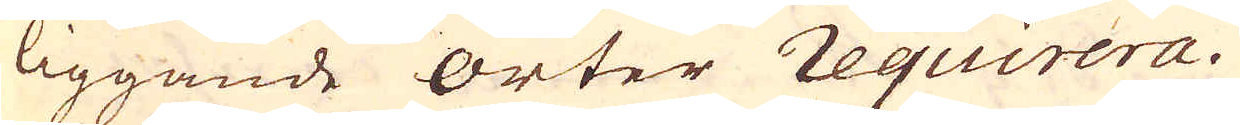liggande Orter requirera.
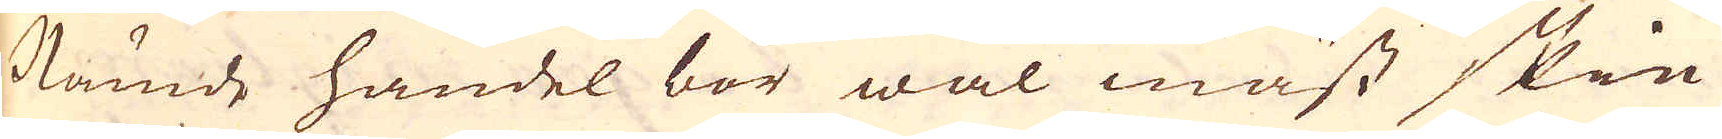Nämde handel bör wäl mäst skie
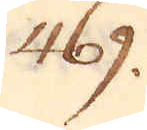469.
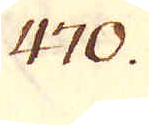470.
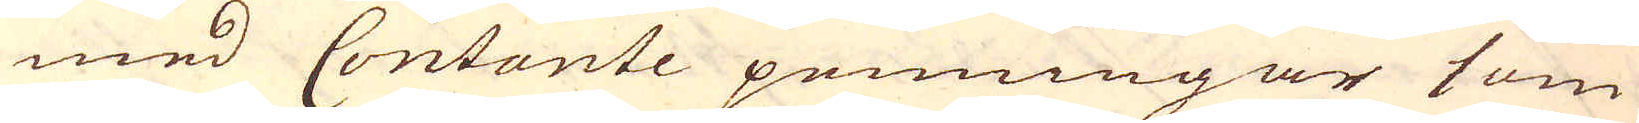med Contante penningar som
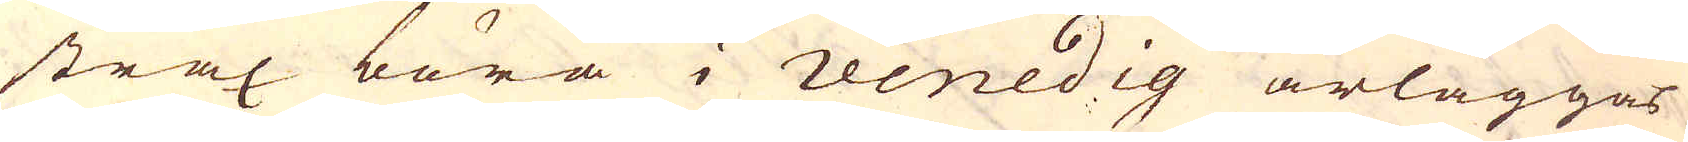strax böra i Venedig ärläggas
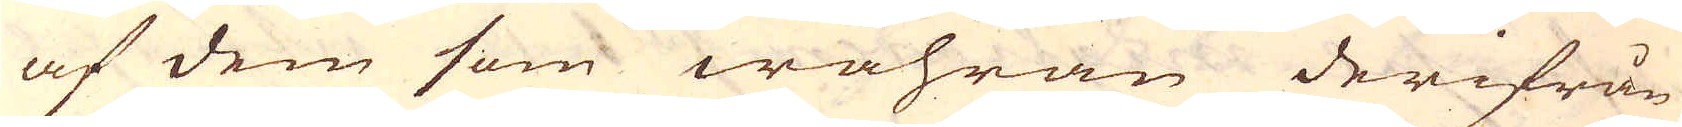af dem som wahran derifrån
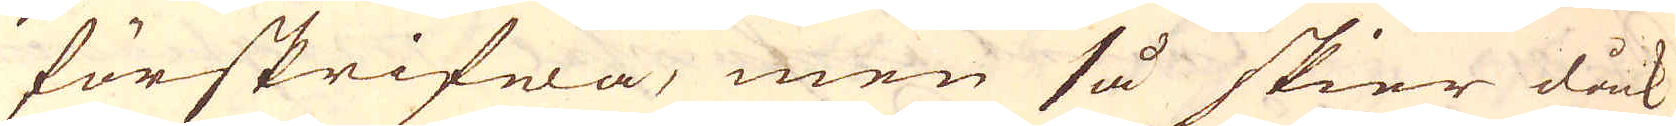förskrifwa, men så skier dåck
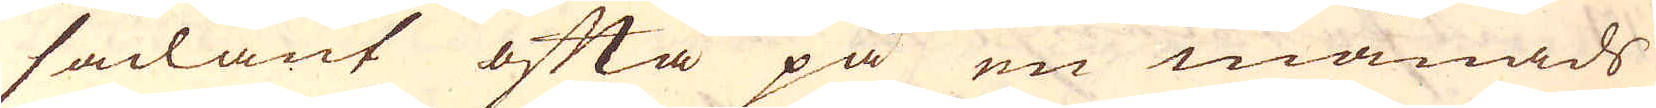sådant ofta på en månads
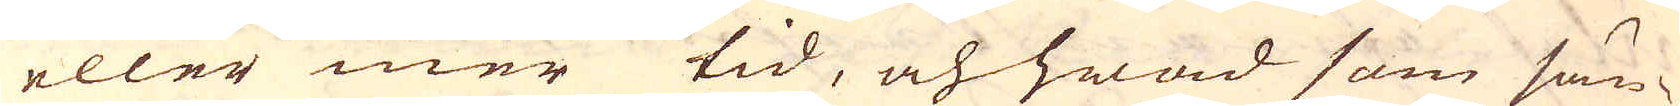eller mer tid, och hwad som sän-
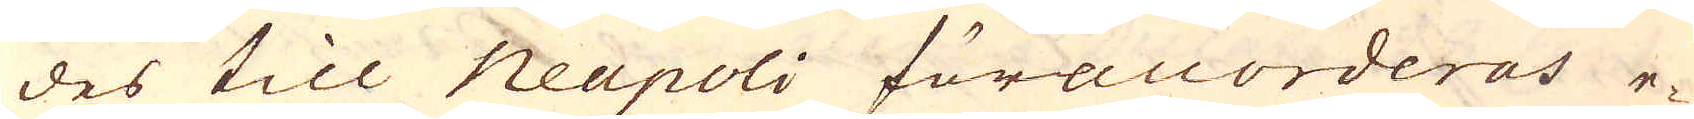des till Neapoli föraccorderas e-
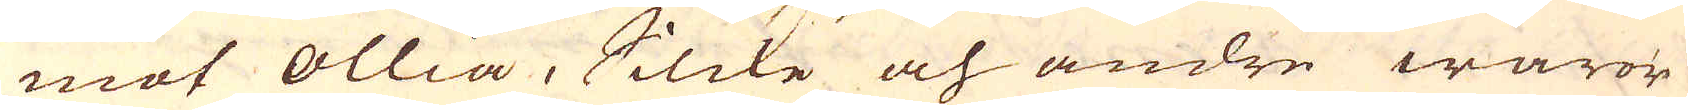mot ollia, Silcke och andre waror
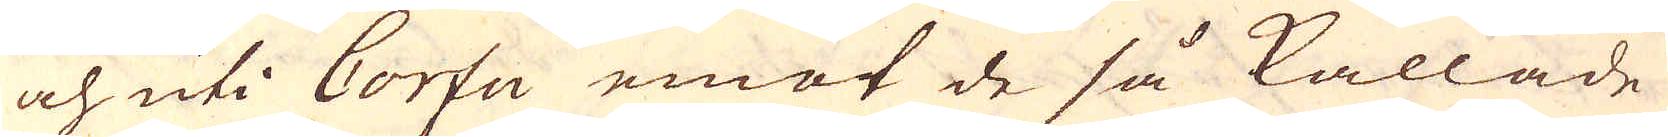och uti Corfu emot de så kallade
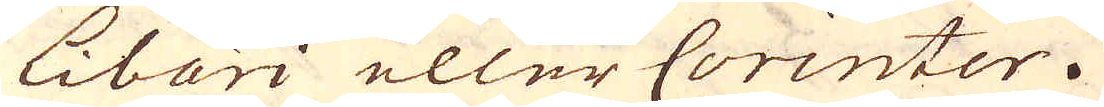Libari eller Corinter.
